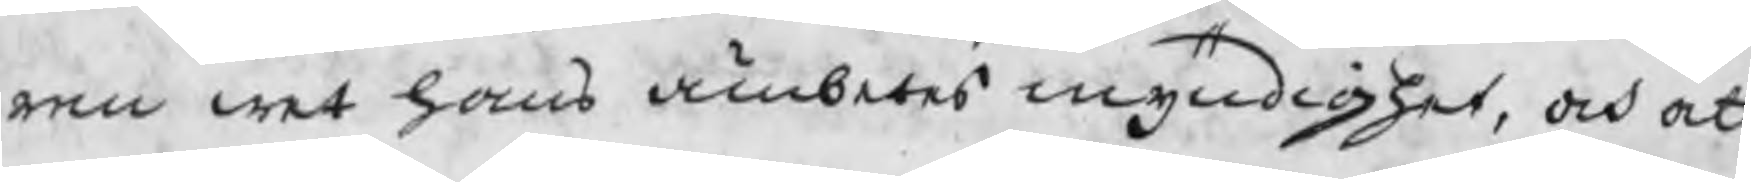ren wet hans ämbetes myndighet, och att
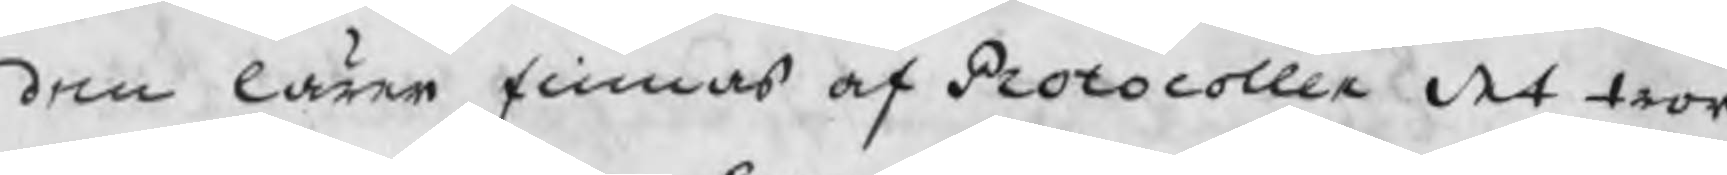den lärer finnas af Protocollen det tror
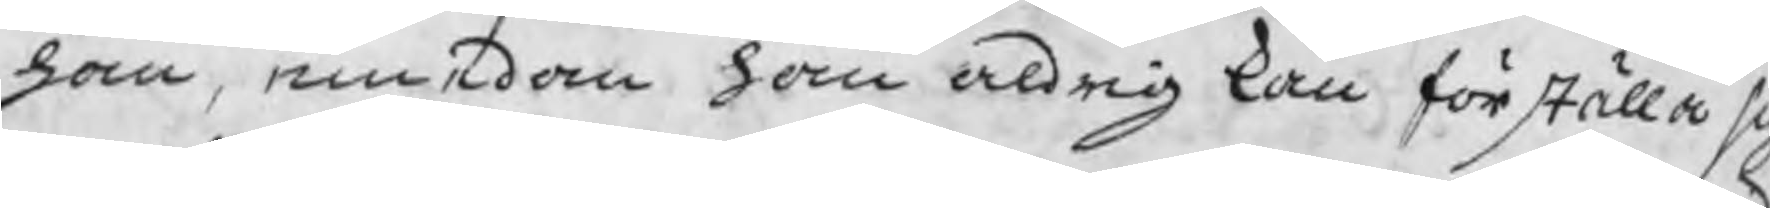han, emedan han aldrig kan förställa si
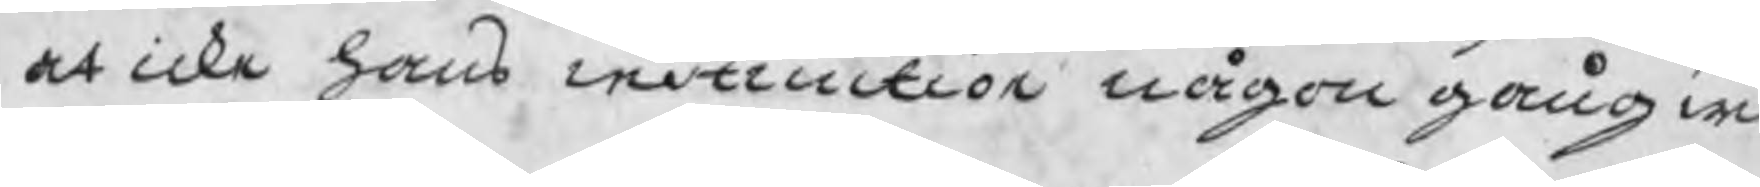at icke hans instruction någon gång wid
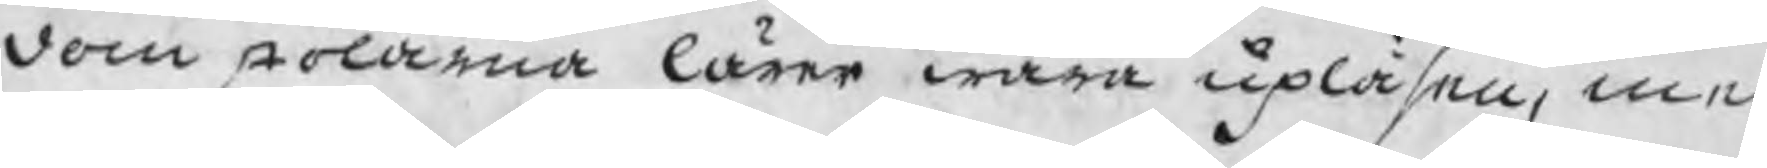domstolarna lärer wara upläsen, men
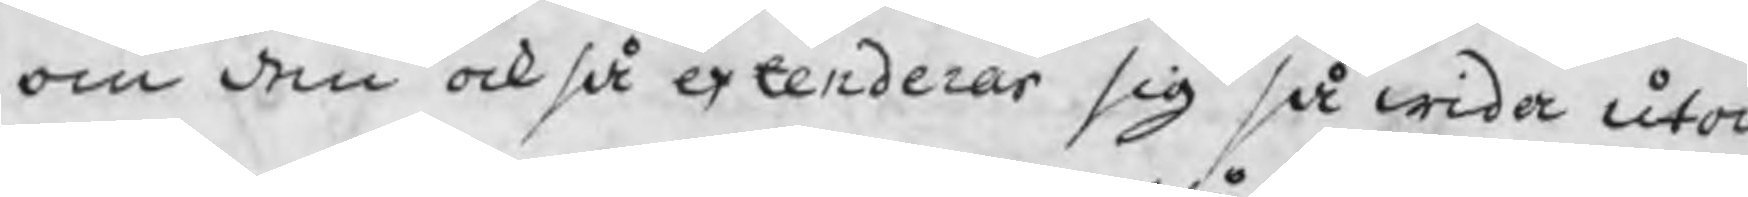om den också extenderar sig så wida uto
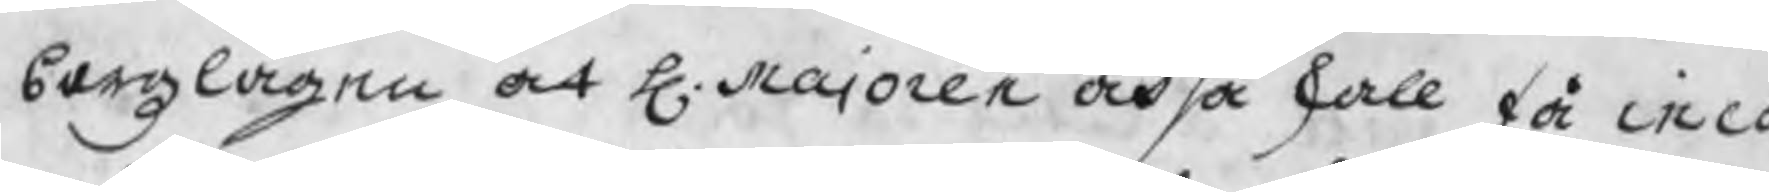bergzlagen at H. Majoren också skall få inco
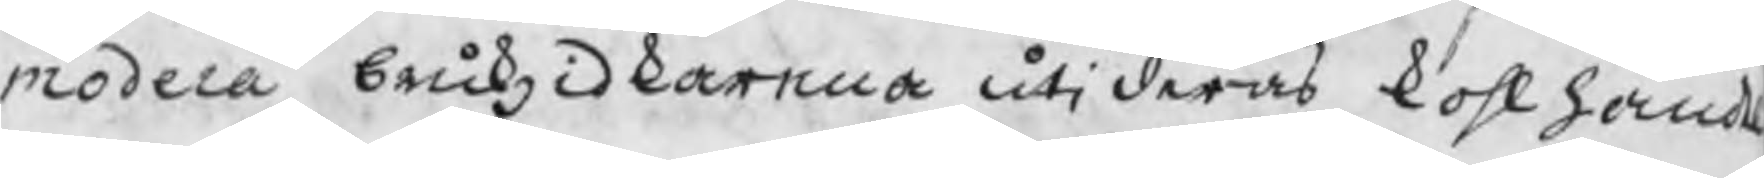modera brukzidkarna uti deras kohlhand
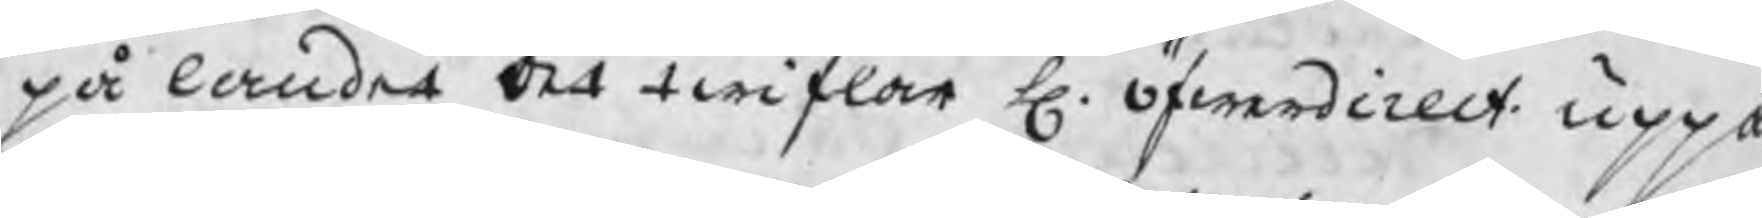på landet det twiflar H. öfwerdirect. uppå
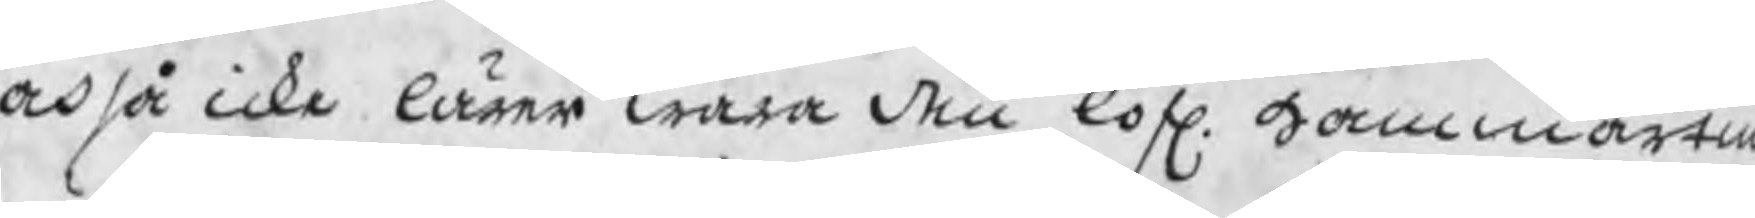också icke lärer wara den lofl. Hammartin
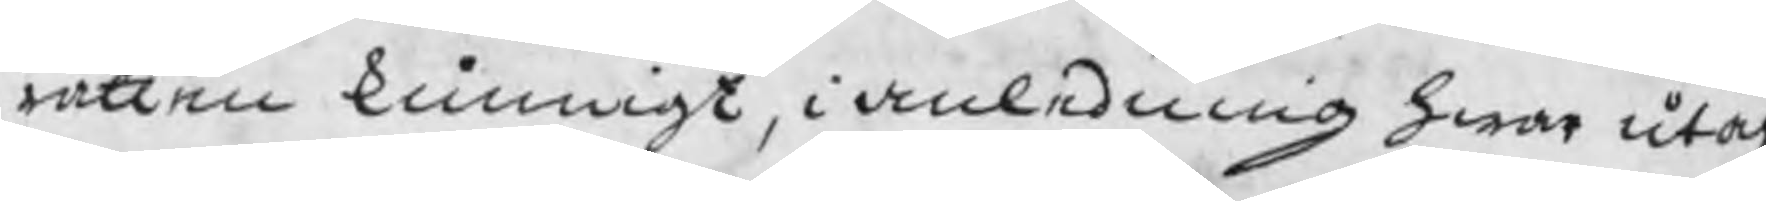rätten kunnigt, i anledning hwar utaf
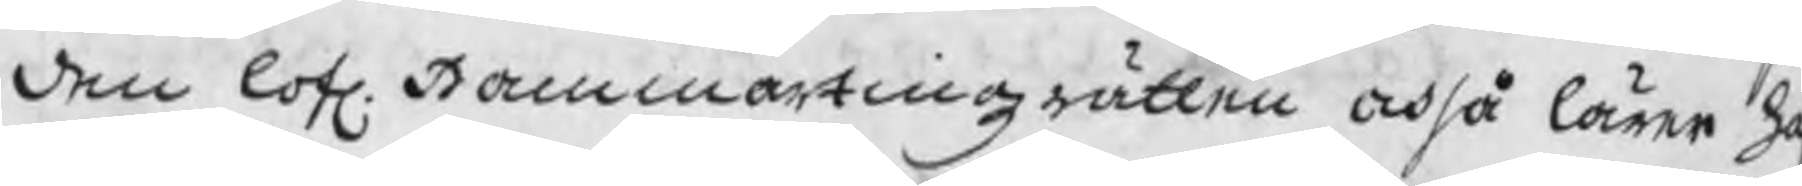den lofl. Hammartingzrätten också lärer h
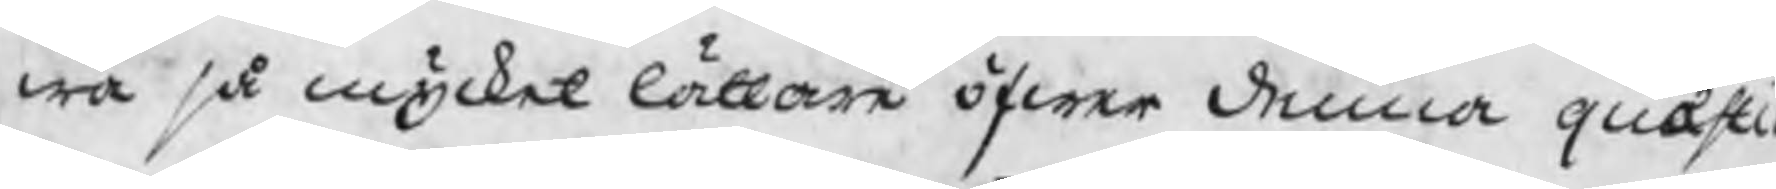wa så mycket lättare öfwer denna quæsti
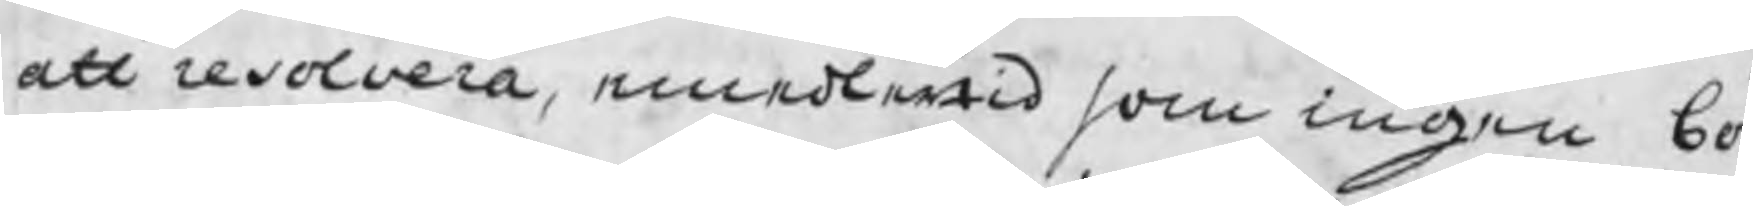att resolvera, emedlertid som ingen bör
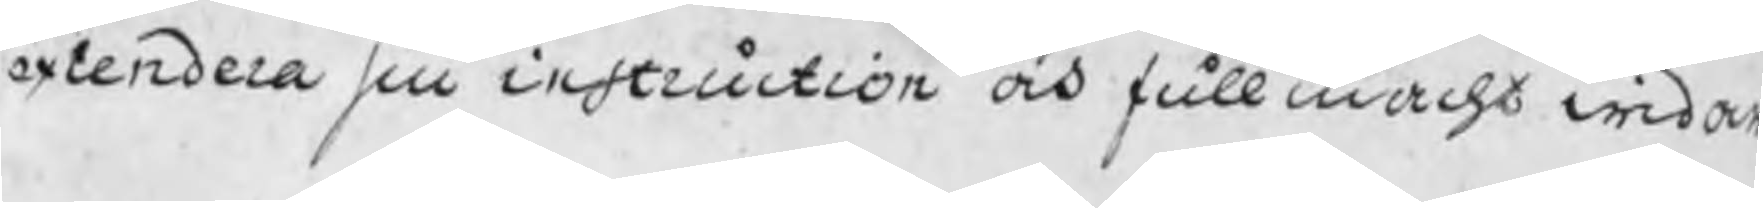extendera sin instruction ock fullmacht widare
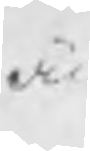än
